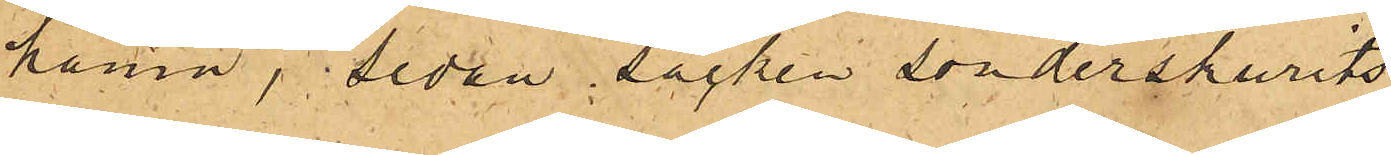hamn, sedan säcken sönderskurits
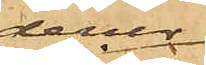derur
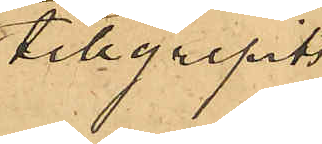tillgripits
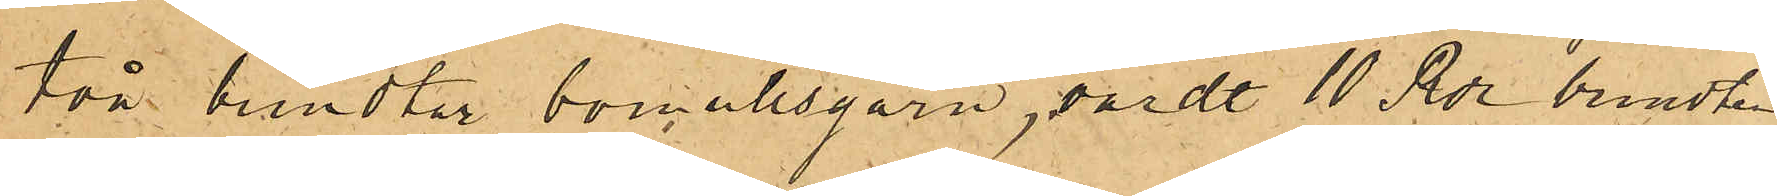två bundtar bomullsgarn, värdt 10 Rdr bundten.
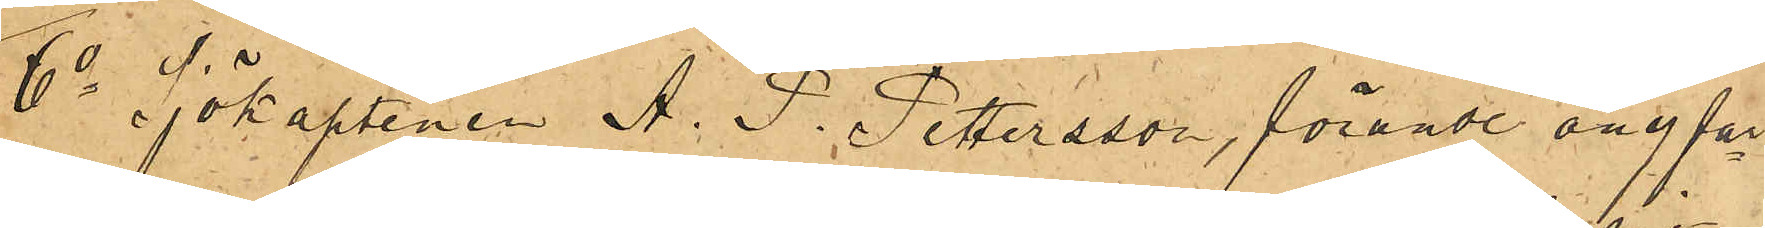6o Sjökaptenen A. P. Pettersson, förande ångfar¬
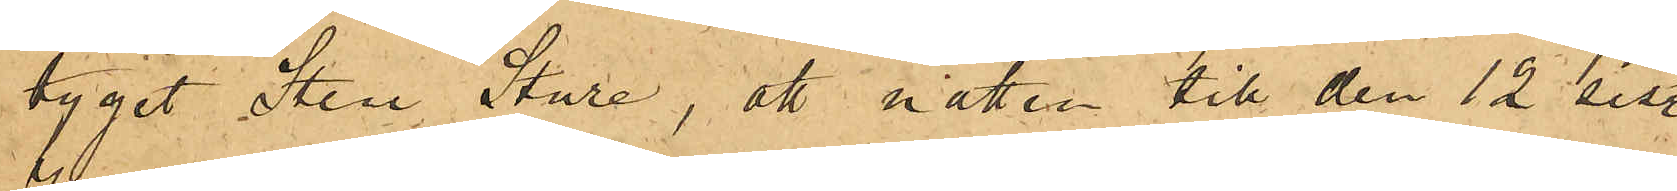tyget Sten Sture, att natten till den 12 sist.
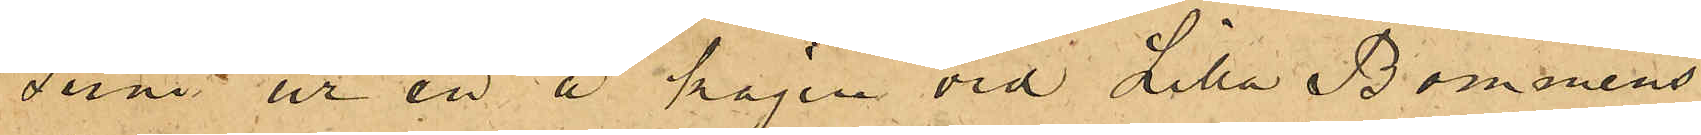Juni ur en å kajen vid Lilla Bommens
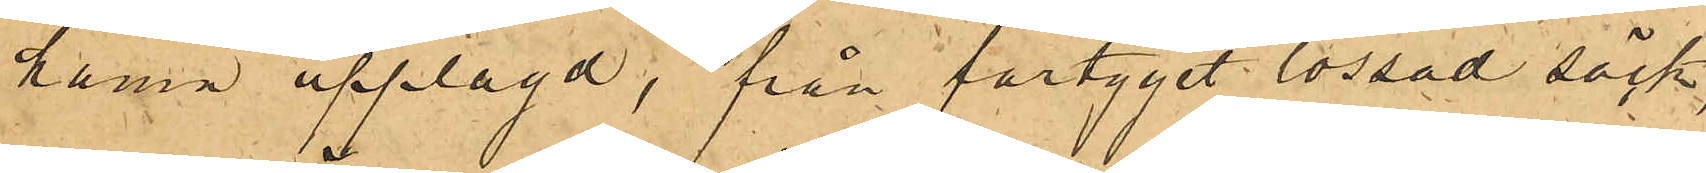hamn upplagd, från fartyget lossad säck,
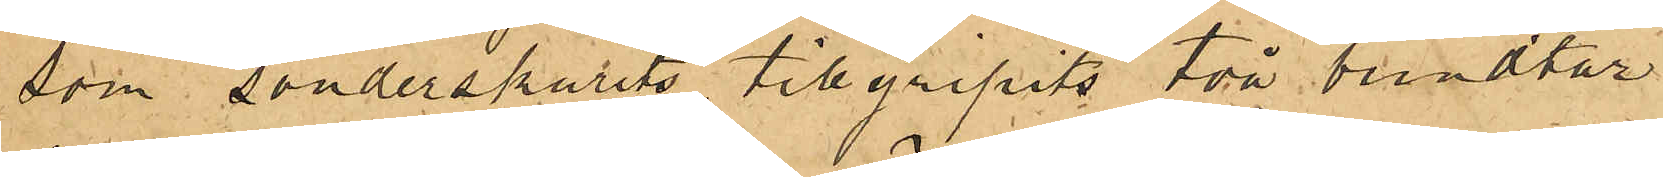som sönderskurits, tillgripits två bundtar
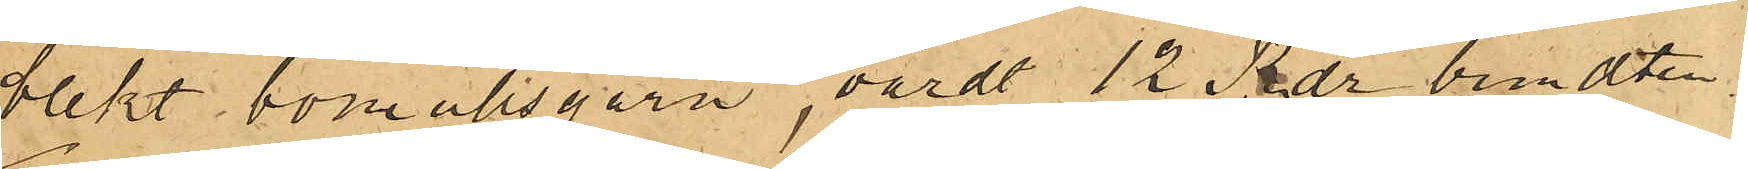blekt bomullsgarn, värdt 12 Rdr bundten.
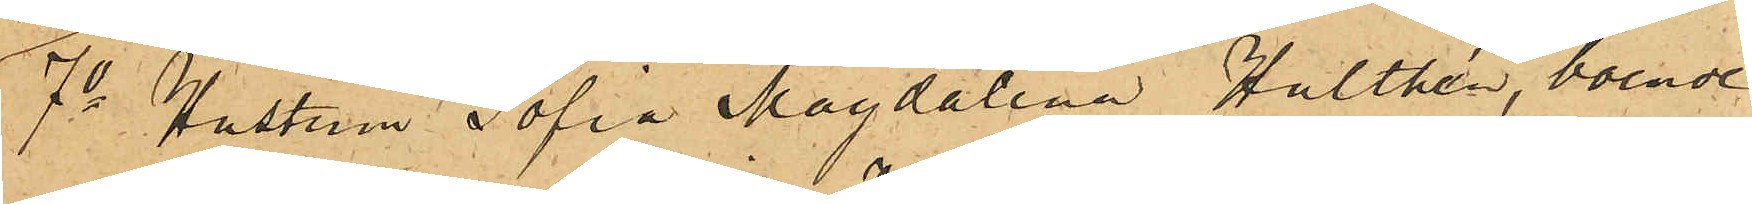7o Hustrun Sofia Magdalena, Hulthén, boende
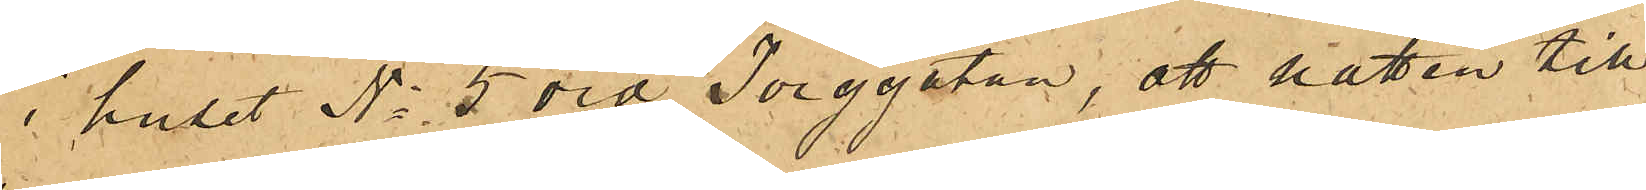i huset No 5 vid Torggatan, att natten till
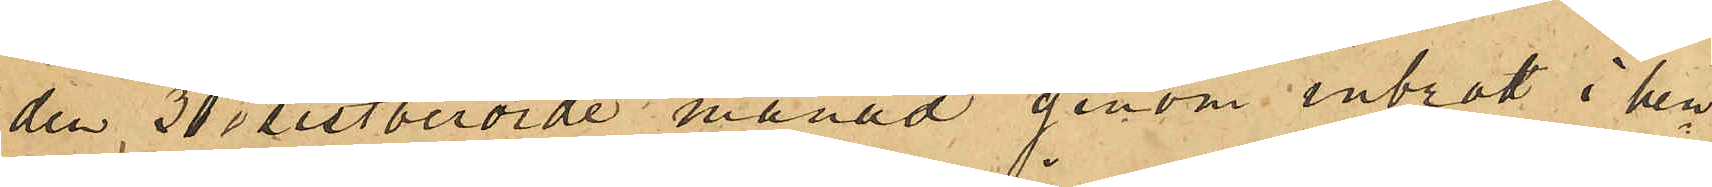den 30 i sistberörde månad genom inbrott i hen¬
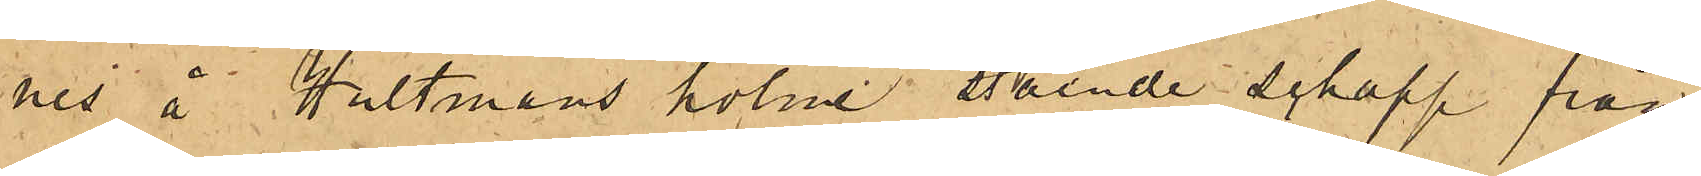nes å Hultmans holme stående schapp från
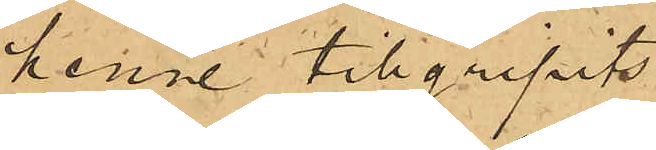henne tillgripits
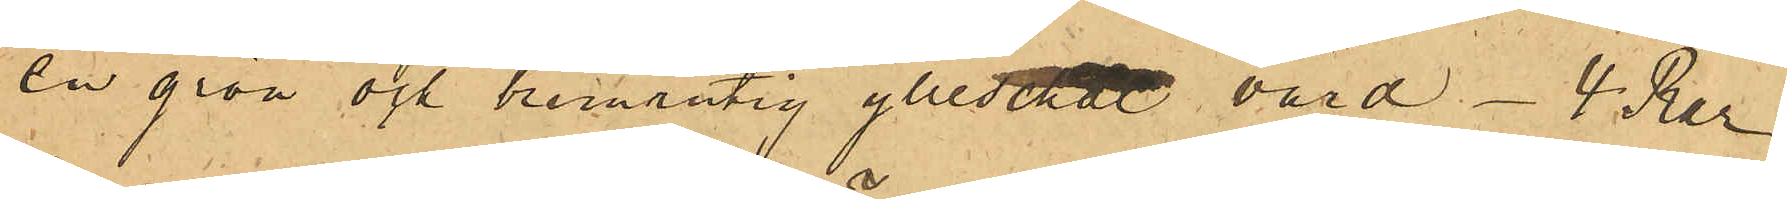en grön och brunutig ylleschal värd  4 Rdr
